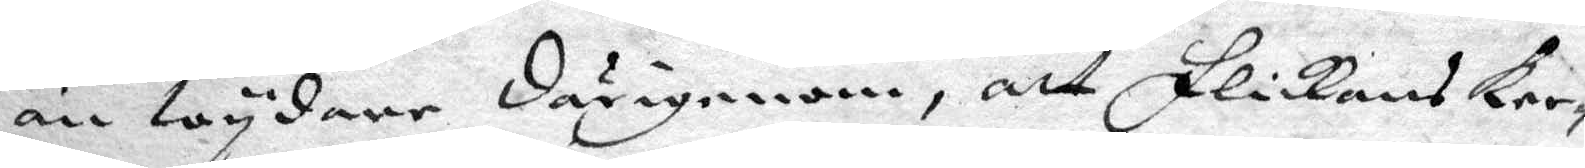än wydare därigenom, att flickans Ker¬
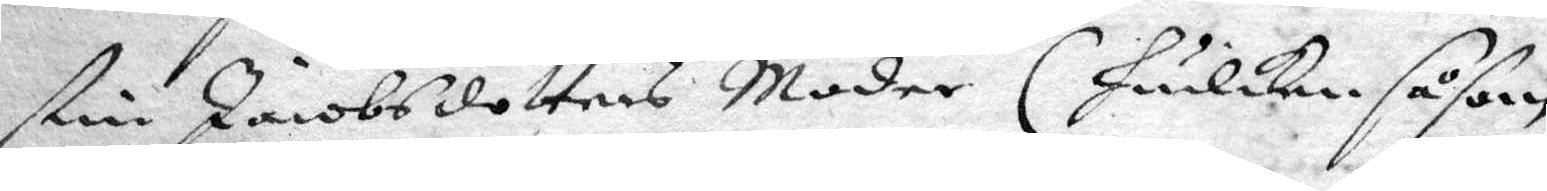stin Jacobsdotters Moder (huilken såsom
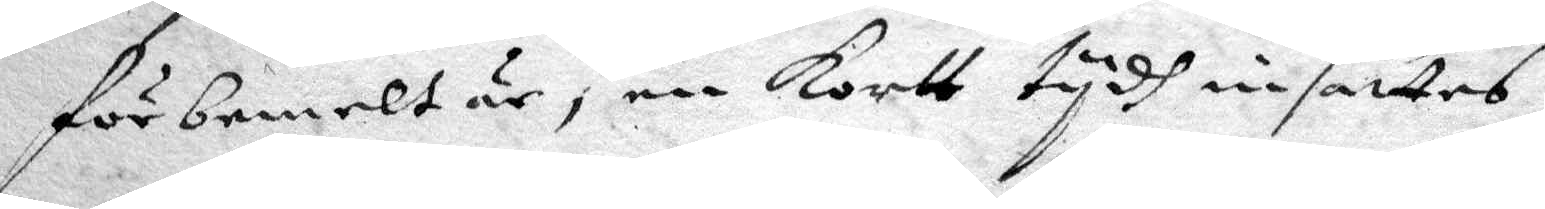förbemelt är, en kortt tydh insattes
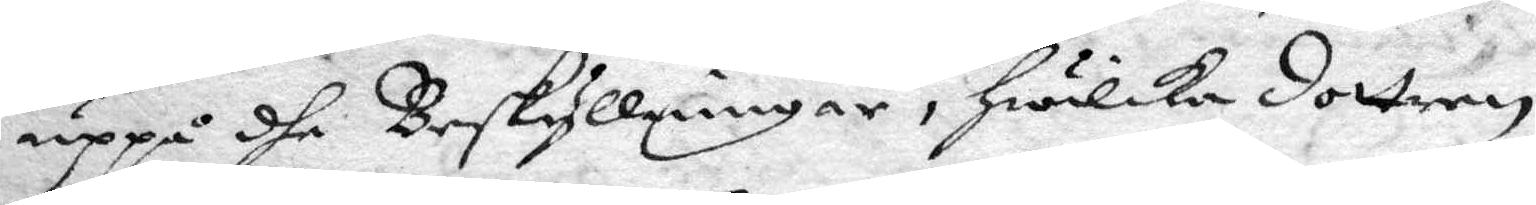uppå dhe Beskyllningar, hwilka dottern
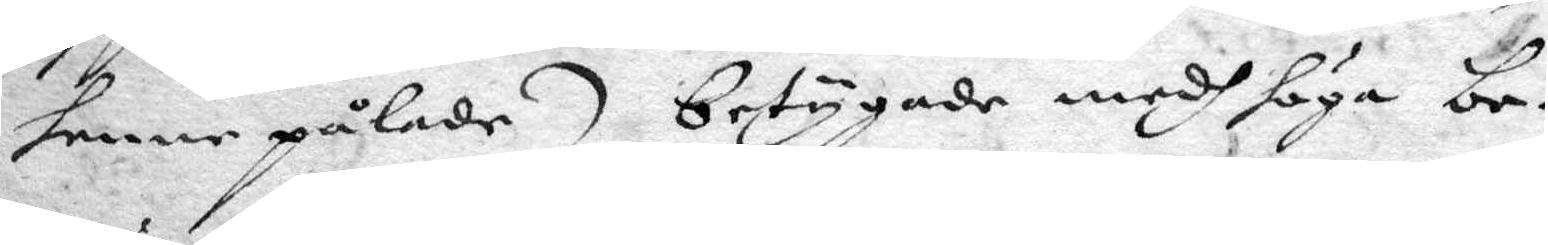henne pålade) betygade medh höga be¬
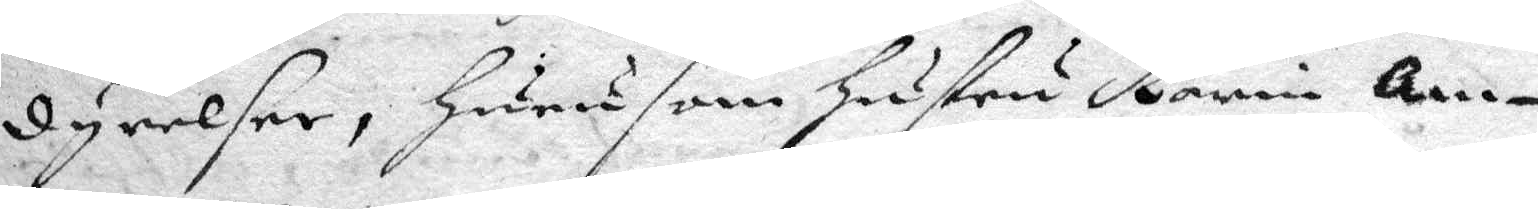dyrelser, huru som hustru Karin Am¬
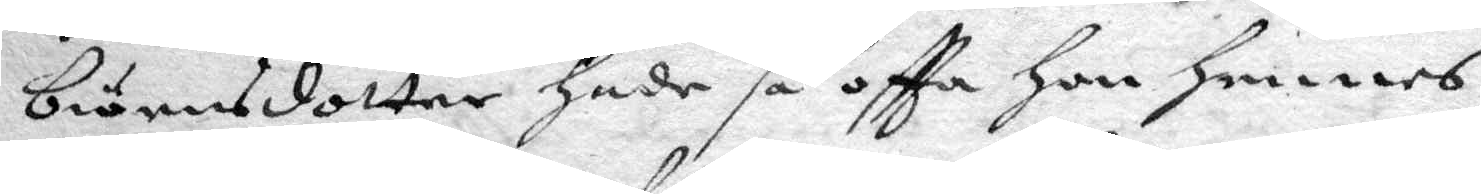biörnsdptter hade så oftta hon hennes
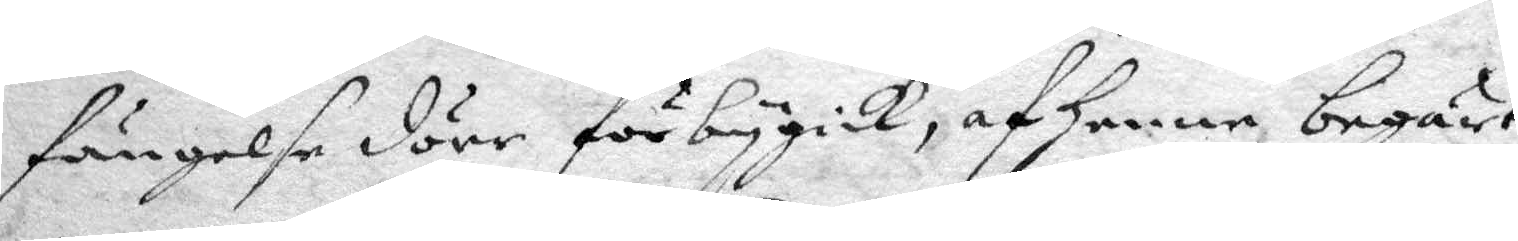fängelse dörr förbbygick, af henne begärt,
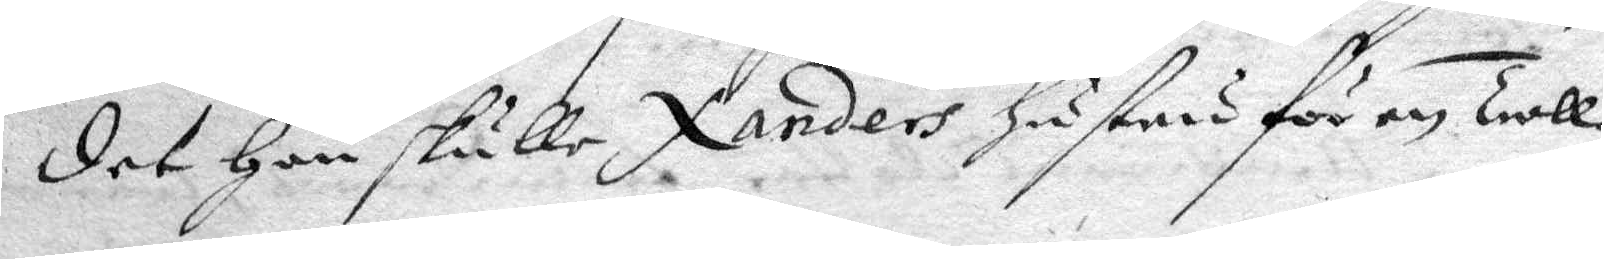det hon skulle Xanders hustru för en Troll¬
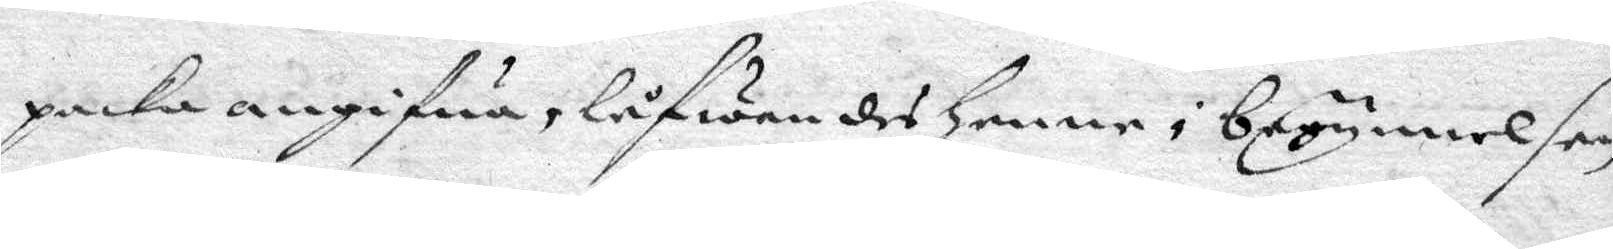packa angifwa, låfwandes henne i begynnelsen
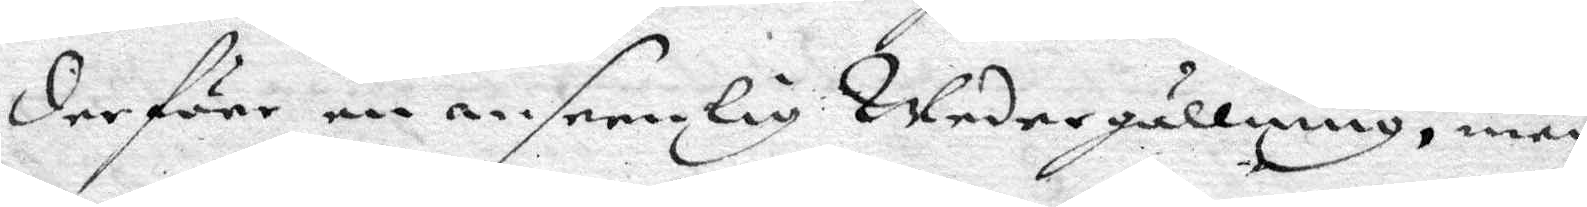derföre en anseenlig Wedergällning, men
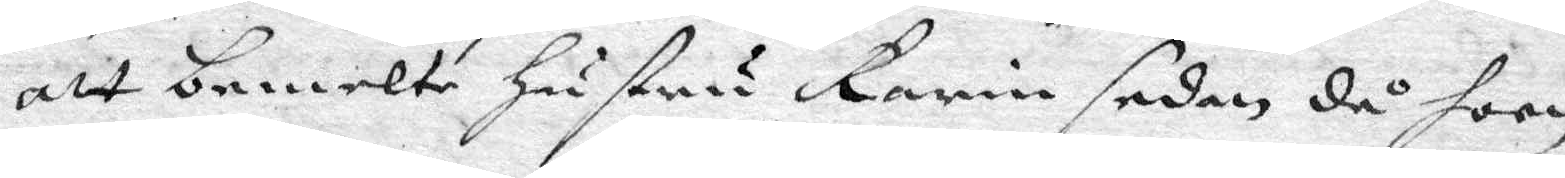att bemelte hustru Karin sedan då hoon
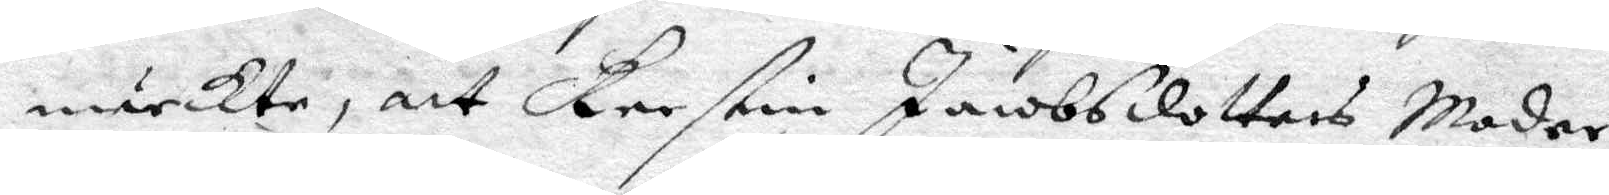märckte, att Kerstin Jacobsdotters Moder
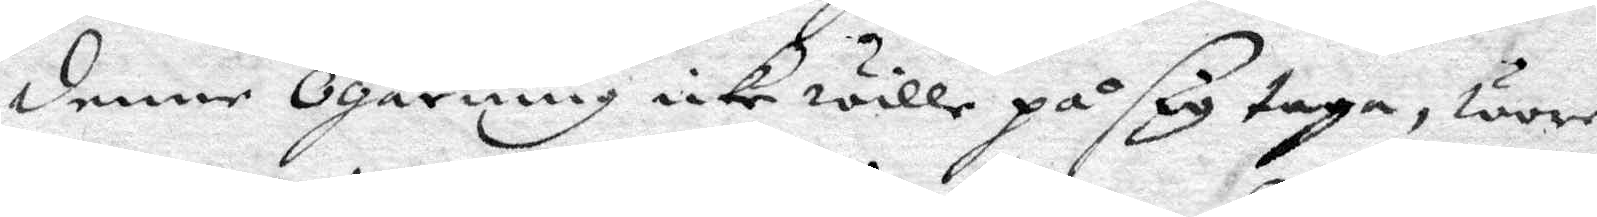denne Ogärning icke wille på sig taga, wore
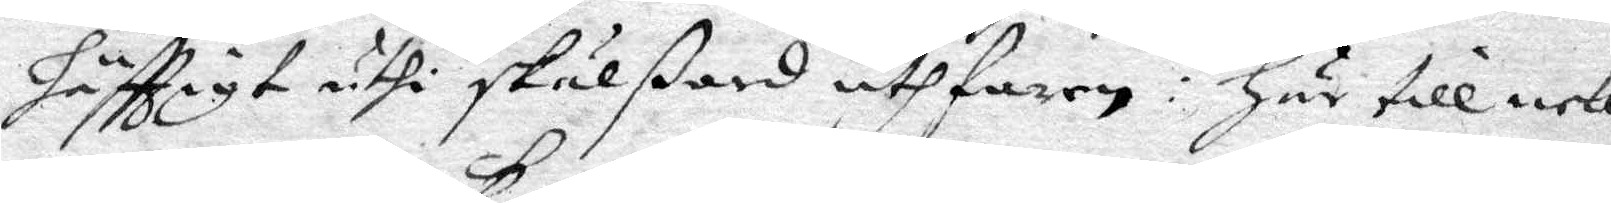häfttigt uthi skälßord uthfaren: hr till nek¬
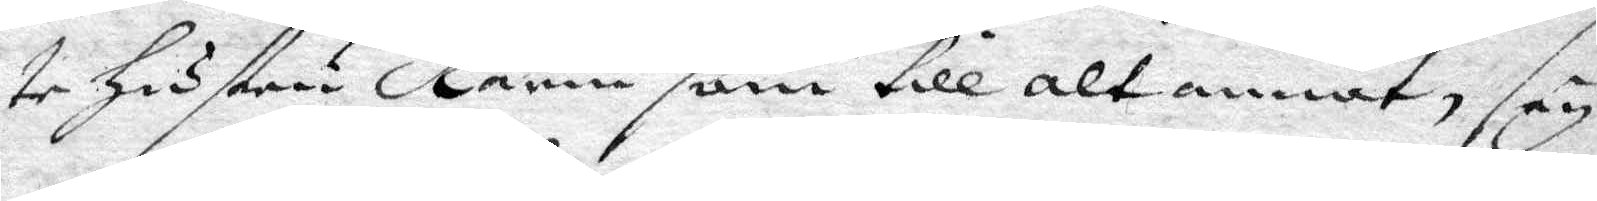te hustru Karin som till alt annat, sey¬
